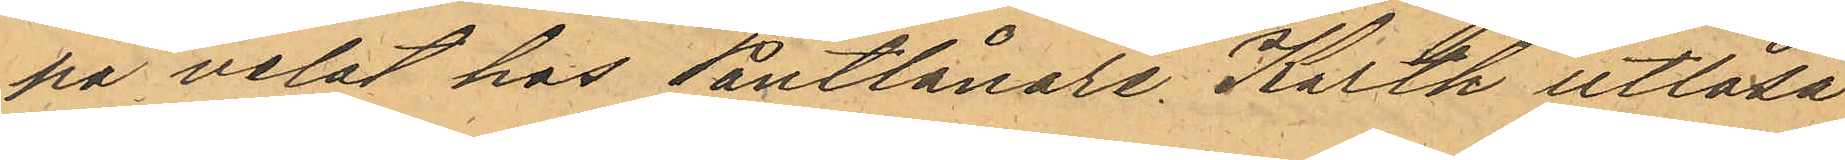på velat hos Pantlånare Karth utlösa
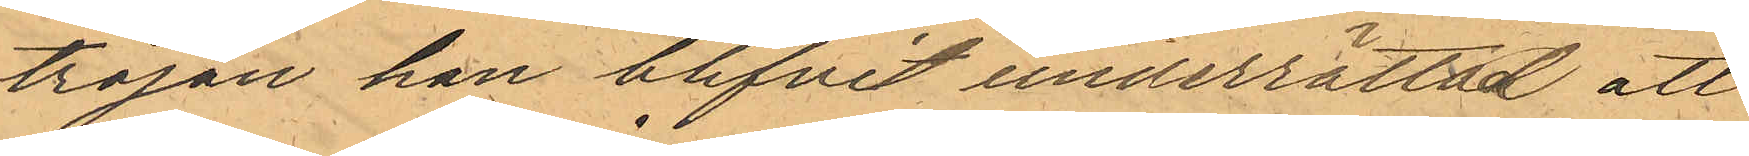tröjan han blifvit underrättad att
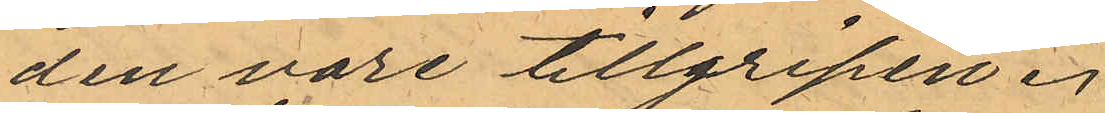den vore tillgripen.
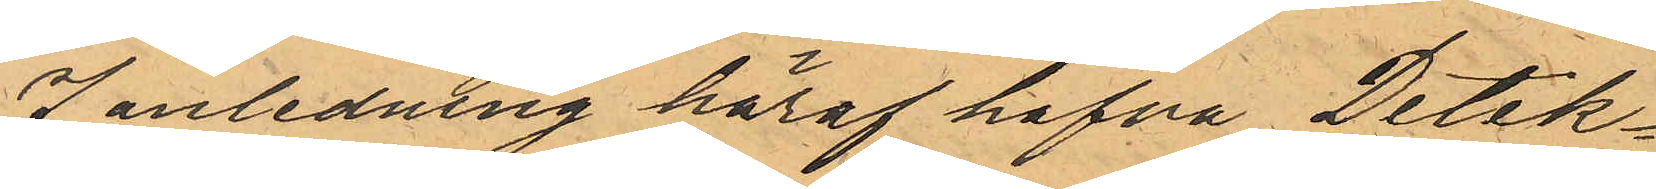I anledning häraf hafva Detek¬
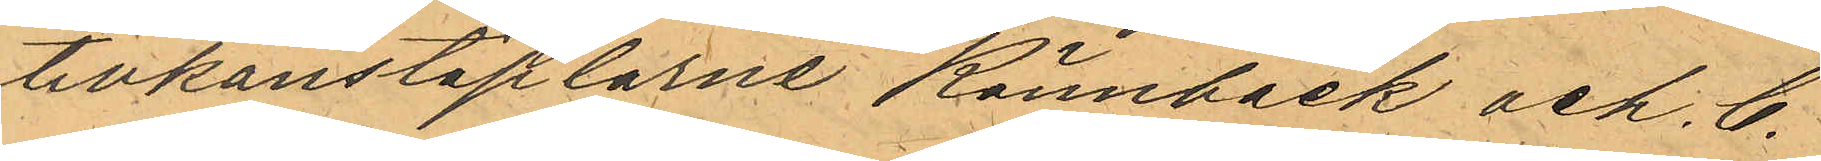tivkonstaplarne Rönnbäck och C.
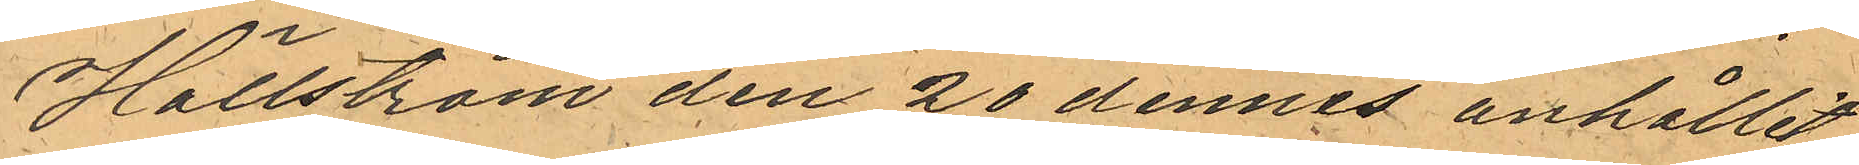Hällström den 20 dennes anhållit
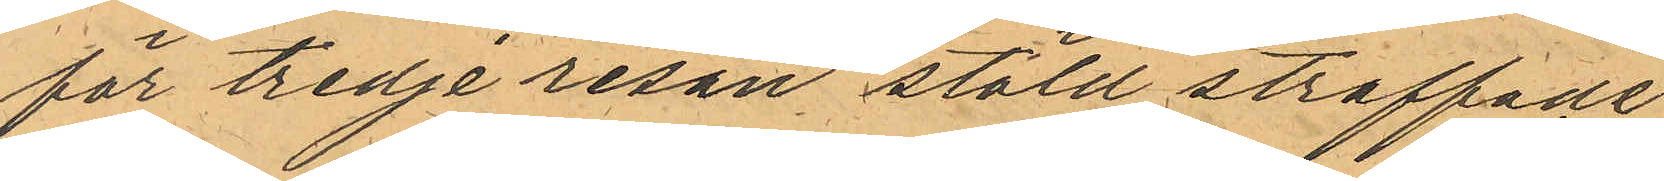för tredje resan stöld straffade
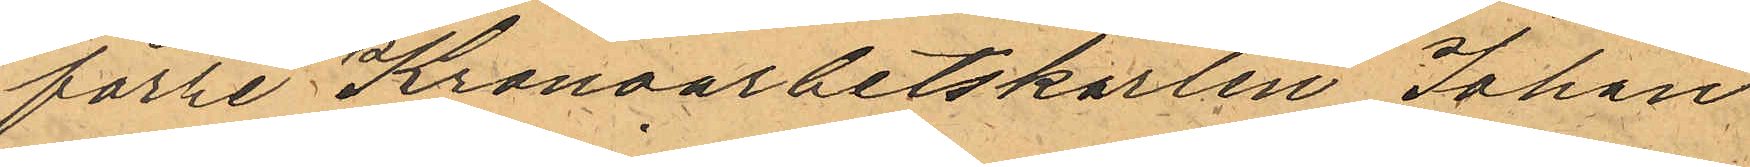förre Kronoarbetskarlen Johan,
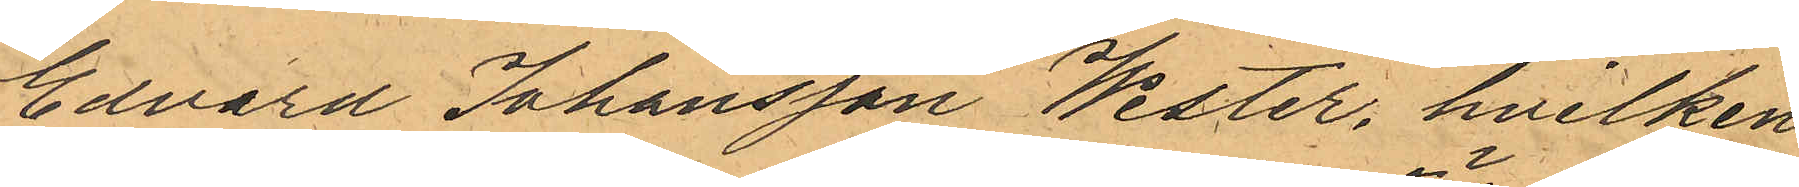Edvard Johansson Wester, hvilken
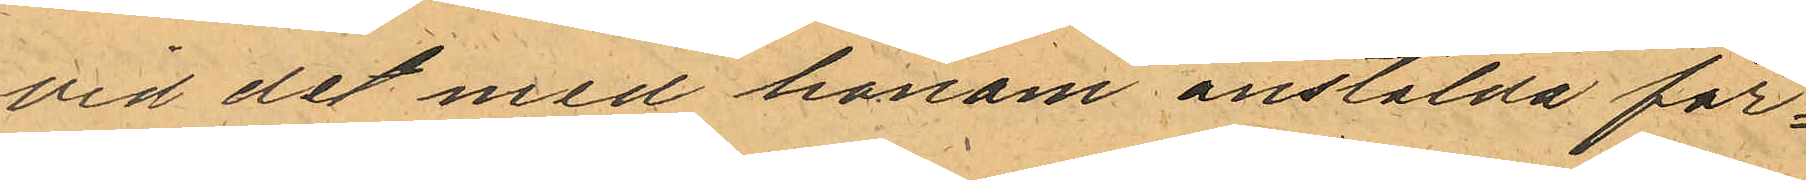vid det med honom anstälda för¬
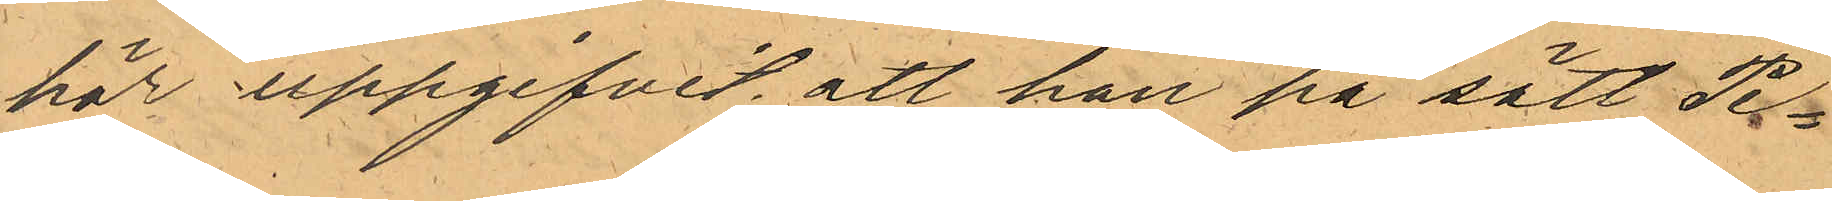hör uppgifvit att han på sätt Pe¬
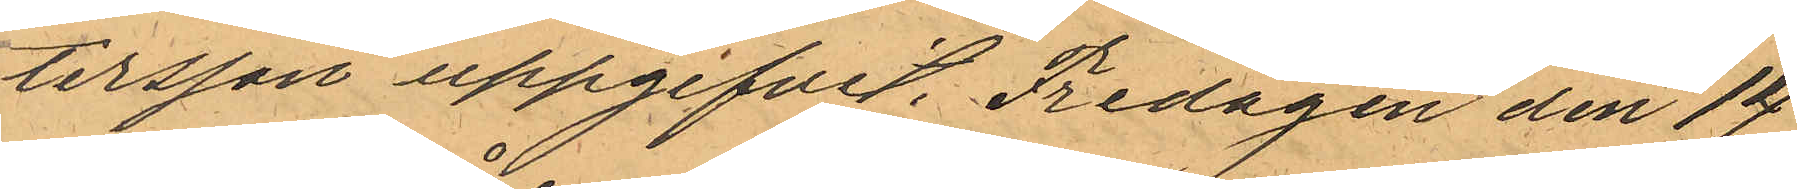tersson uppgifvit, Fredagen den 14
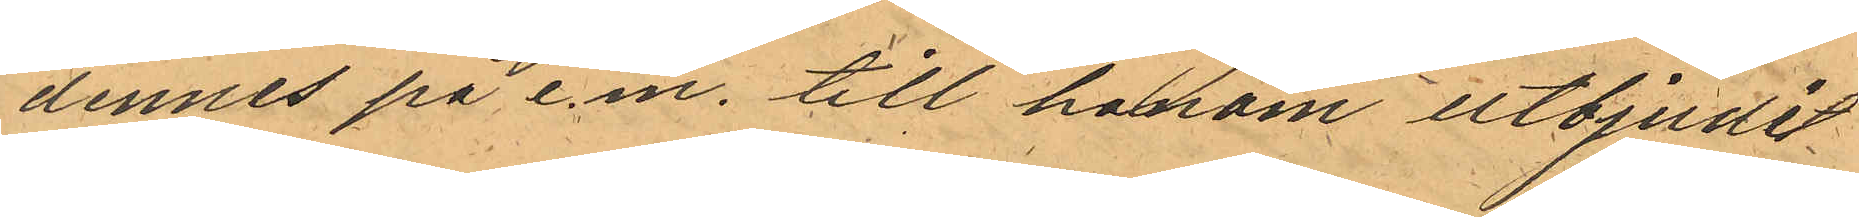dennes på e.m. till honom utbjudit
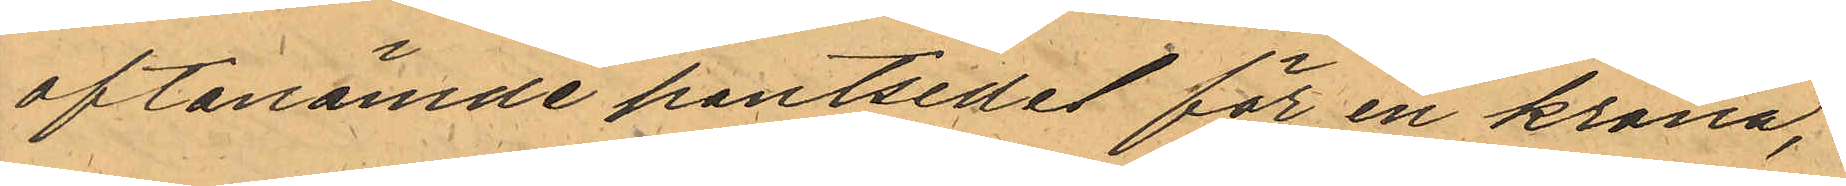oftanämde pantsedel för en krona,
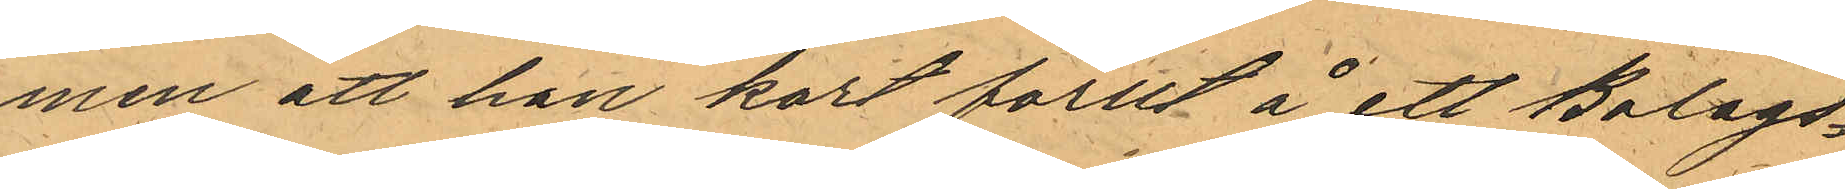men att han kort förut å ett Bolags¬
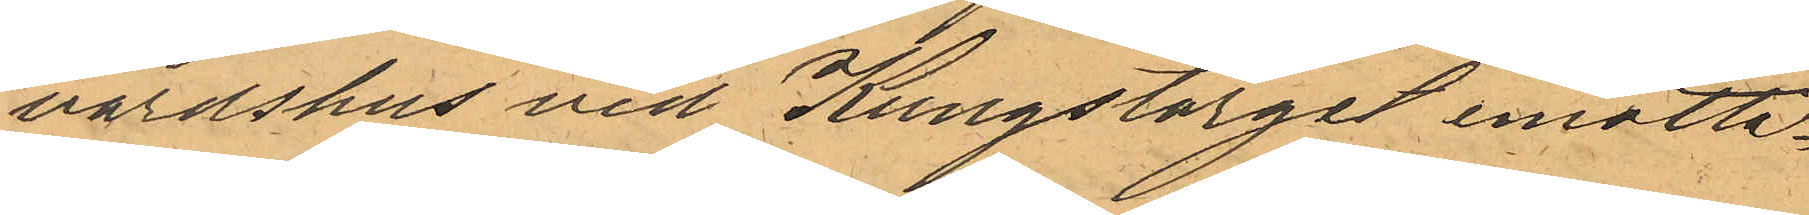värdshus vid Kungstorget emotta¬
